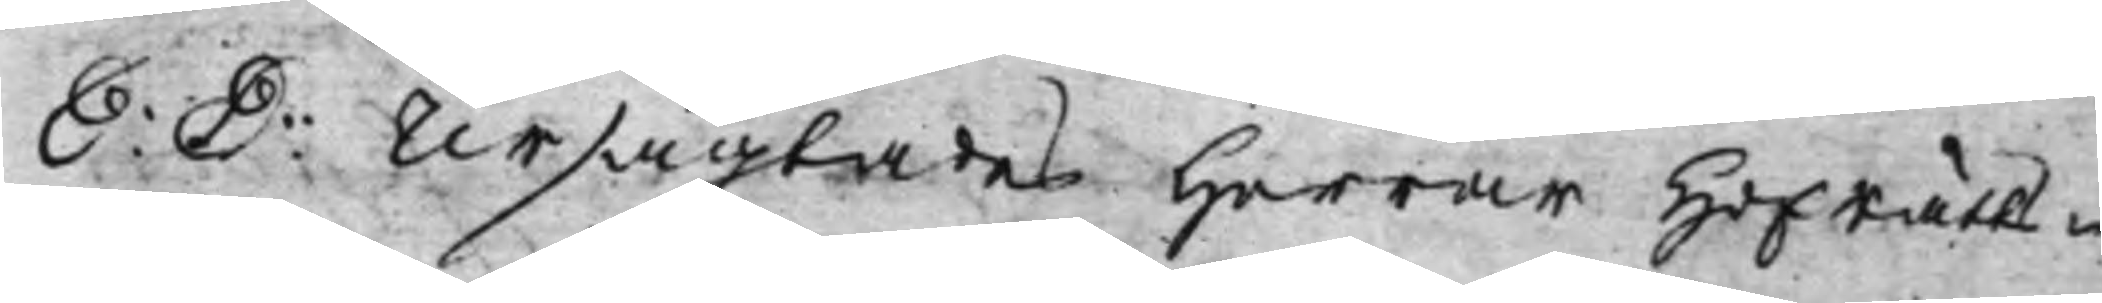S: D: Ursägtades Herrar HofRätts¬ 
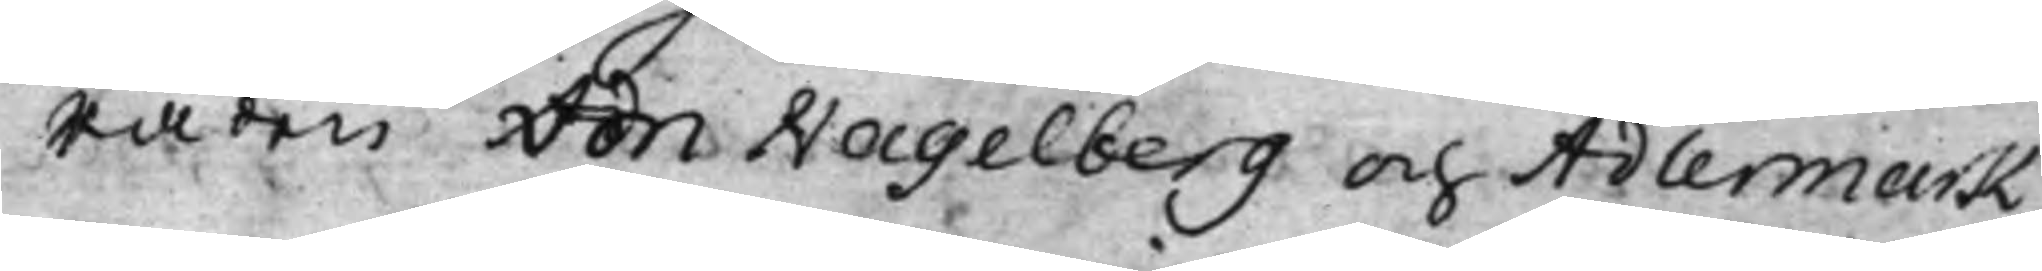Råden von Hagelberg och Adlermark,
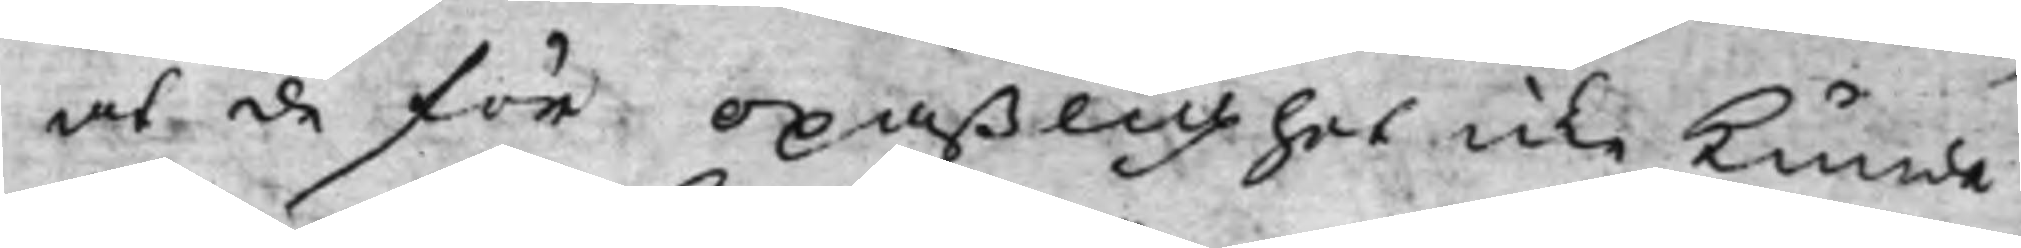at de för opaßlighet icke kunde
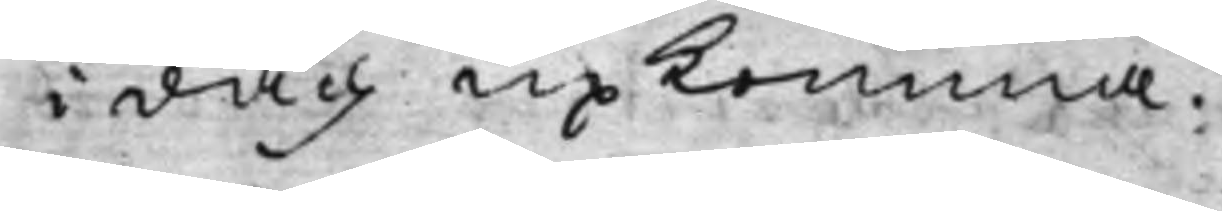i dag upkomma.
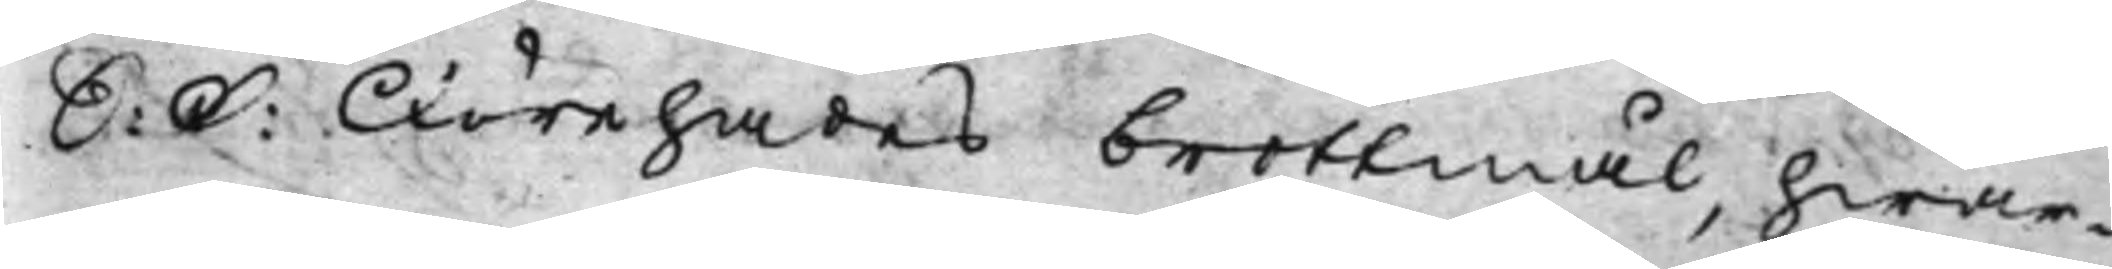S: D: Förehades brottmål, hwar¬ 
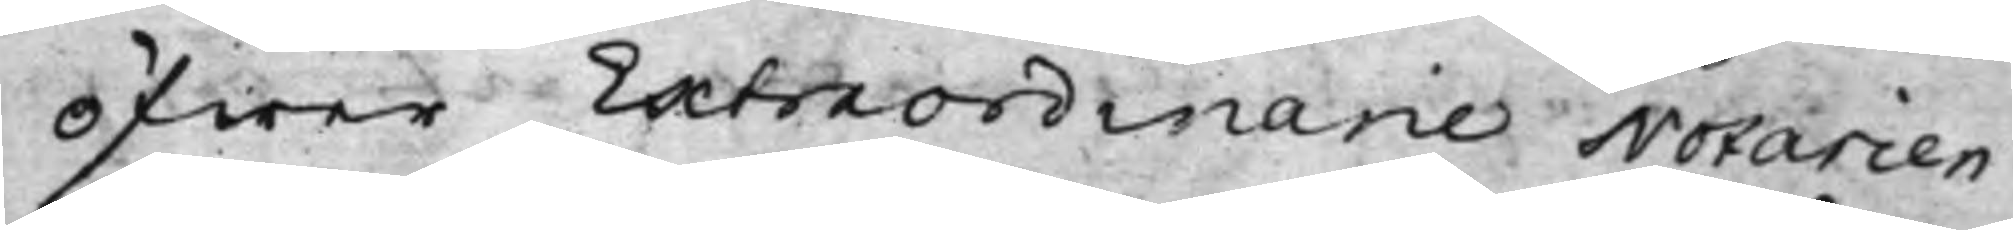öfwer Extraordinarie Notarien
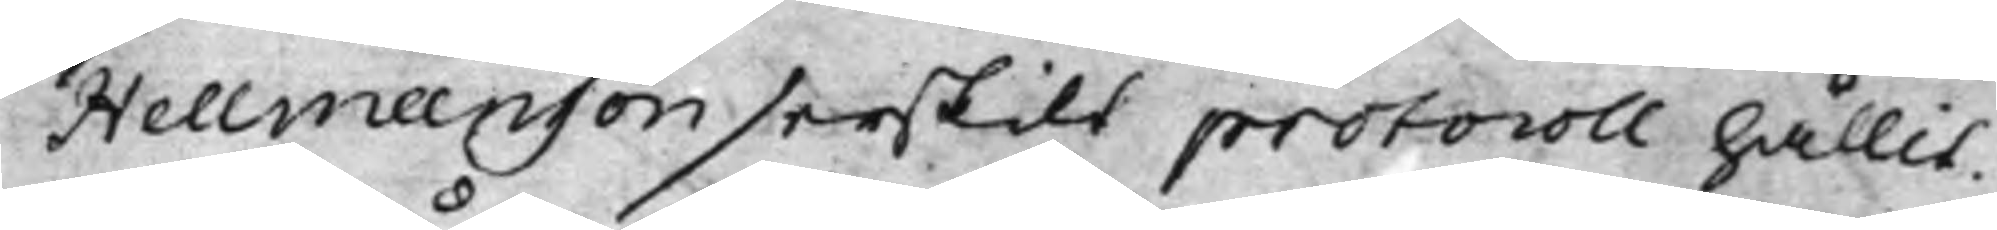Hellmanson serskilt protocoll hållit.
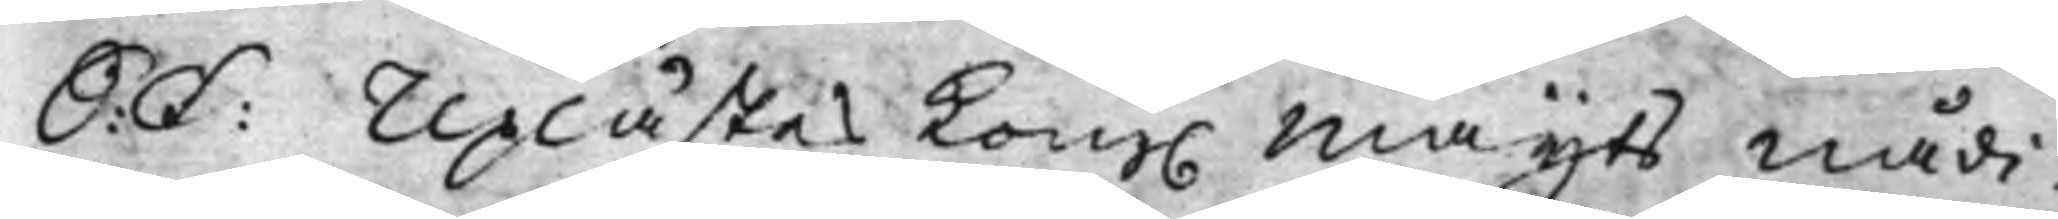S: D: Uplästes Kong. Maijts Nådi¬ 
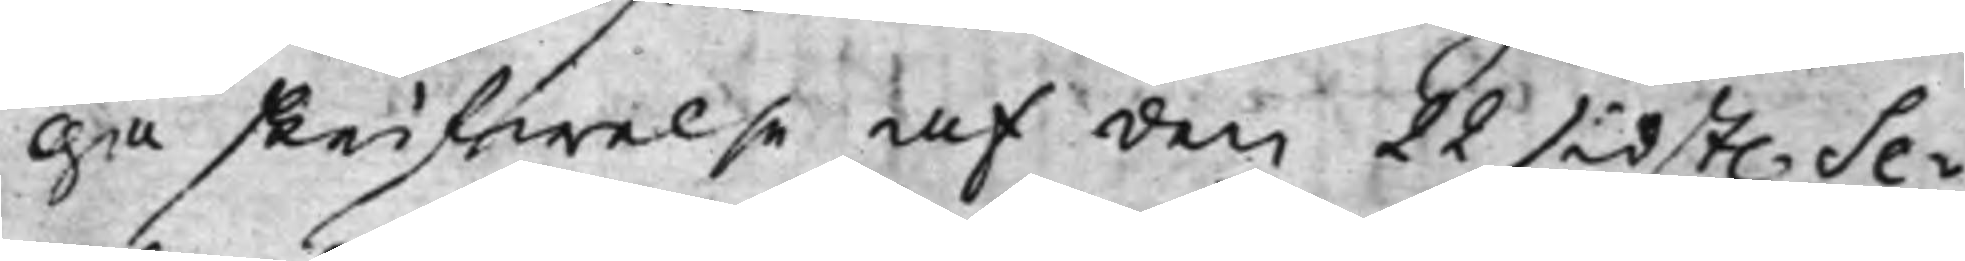ga skrifwelse af den 22 sidst. Se¬ 
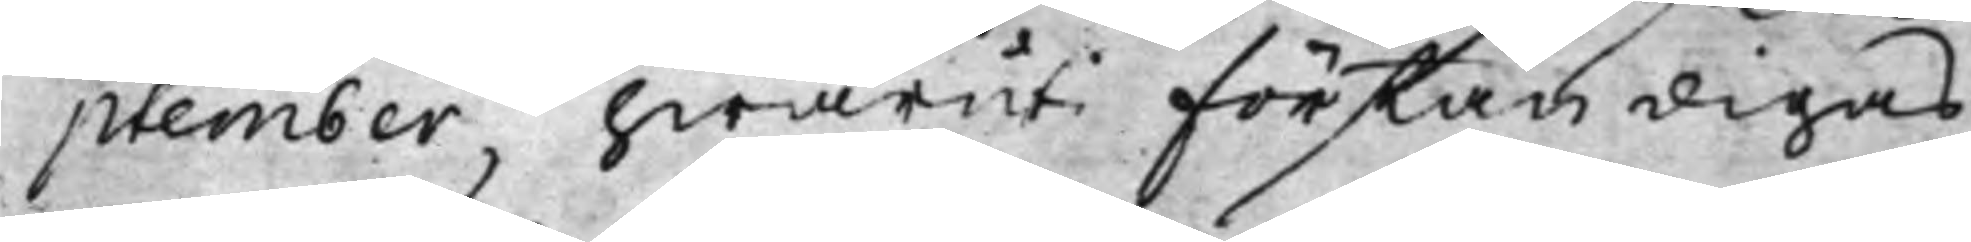ptember, hwaruti förständigas,
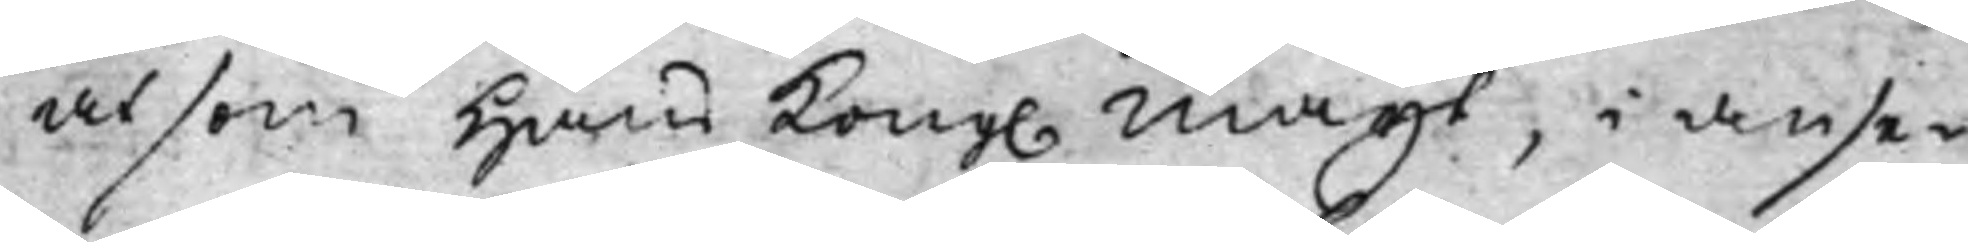at som Hans Kong. Maijt, i anse¬ 
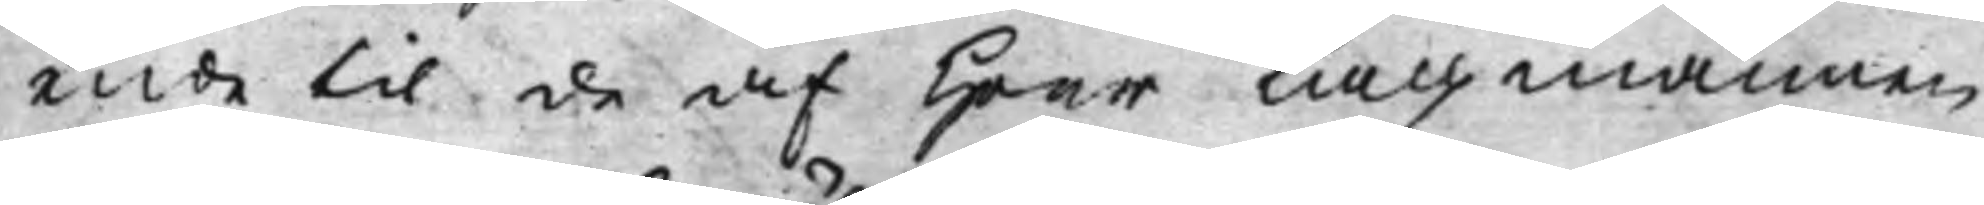ende til de af Herr Lagmannen
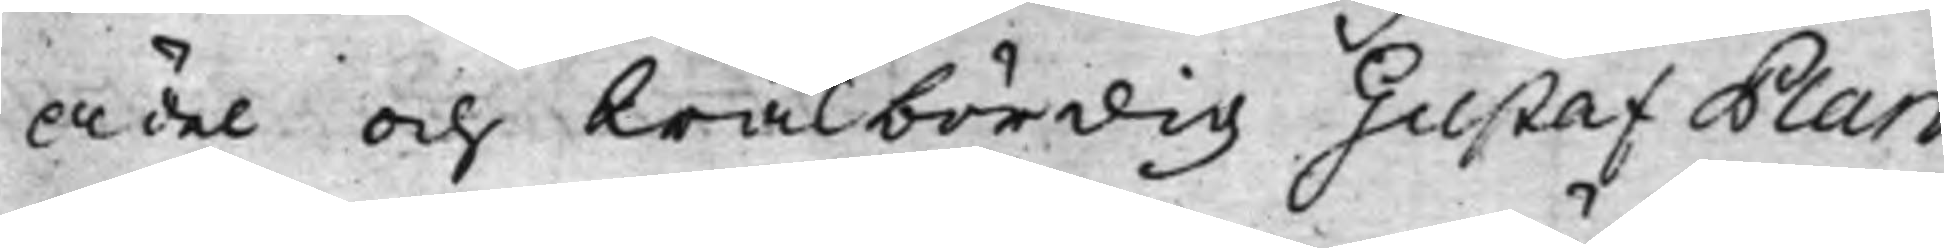Ädel och Wälbördig Gustaf Plan
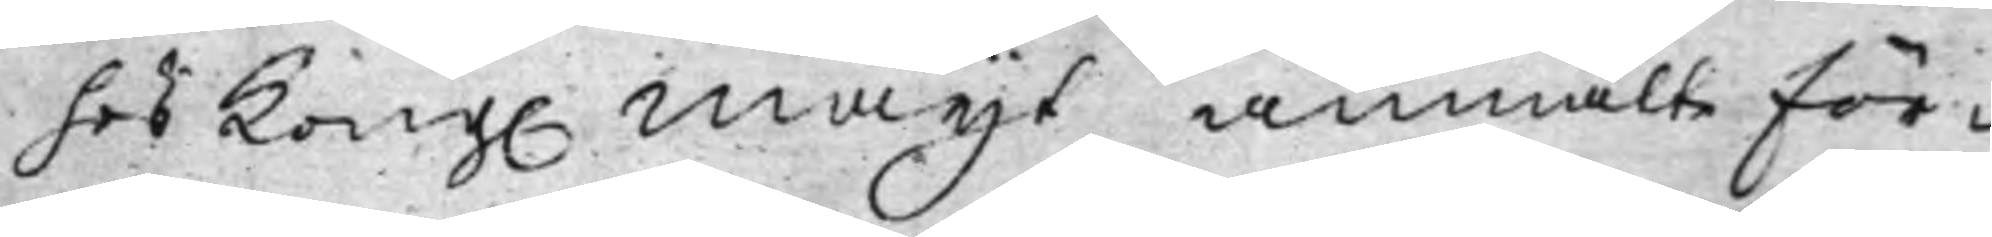hos Kong. Maijt anmälte för¬ 
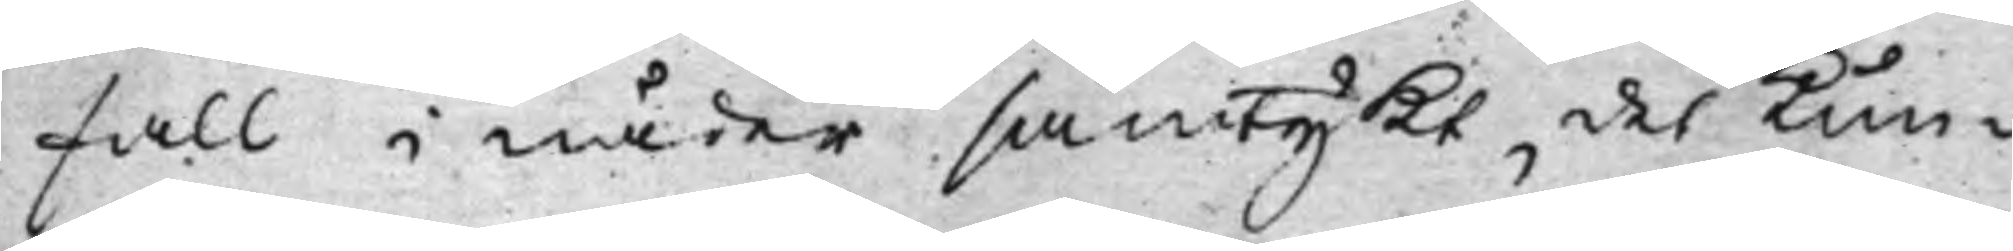fall i nåder samtykt det kun¬
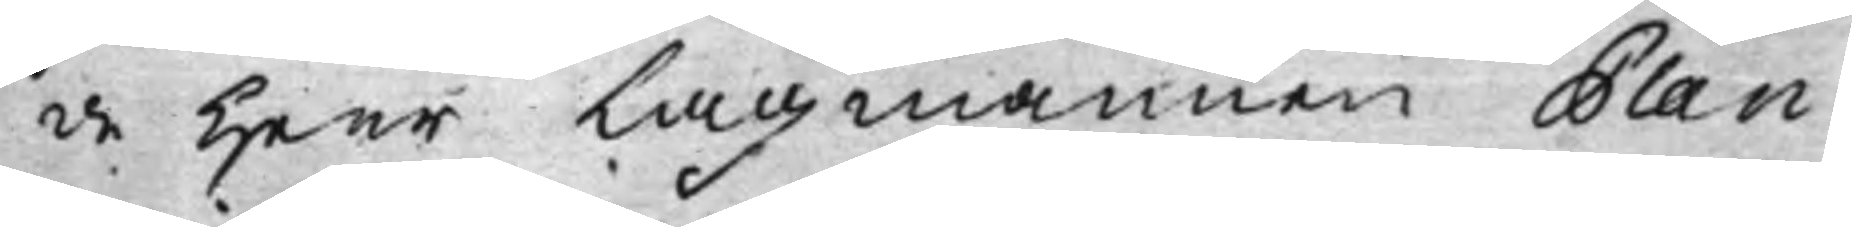de Herr Lagmannen Plan,
